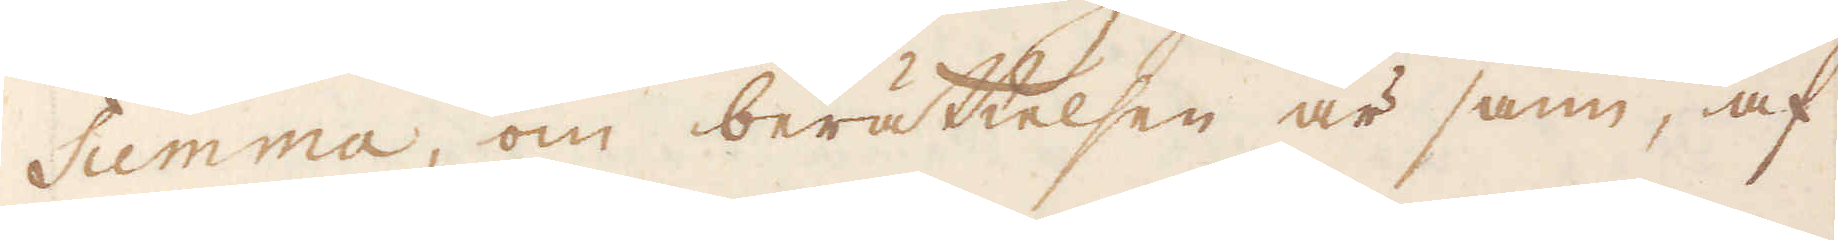Summa, om berättelsen är sann, af
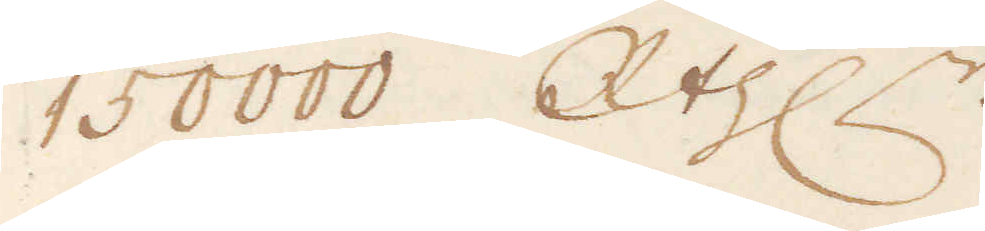150000 R:thr.
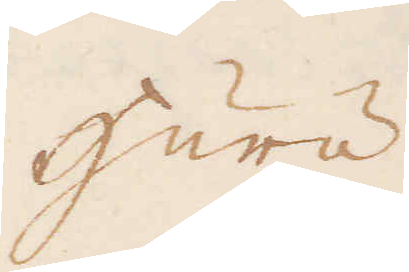Huru
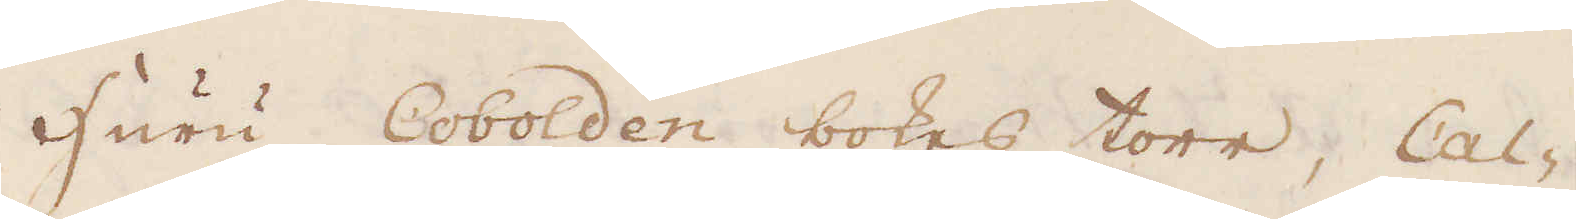Huru Cobolden bokes torr, Cal-
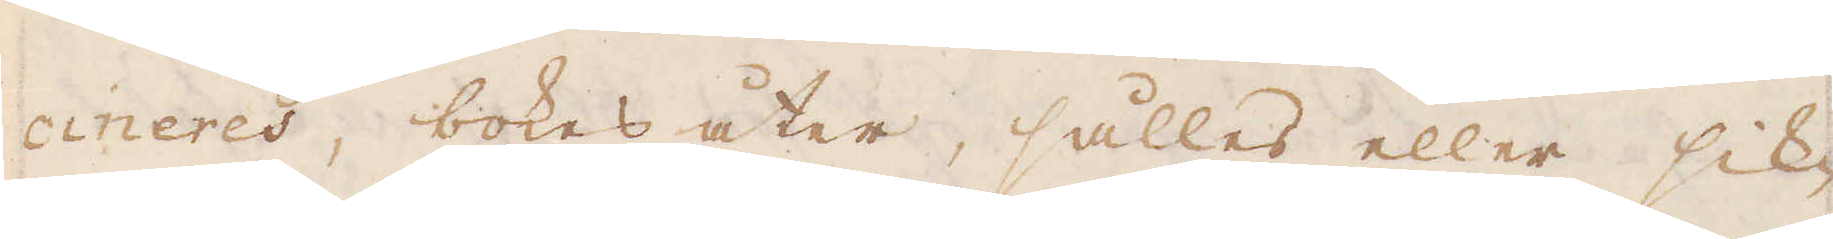cineres, bokas åter, sålles eller sik-
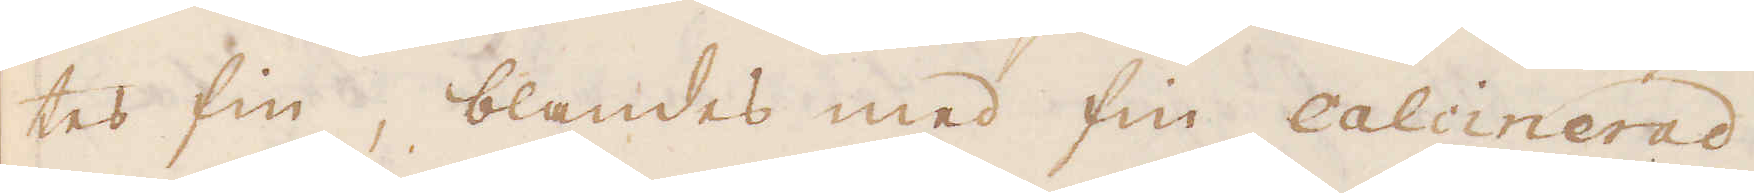tes fin, blandes med fin calcinerad
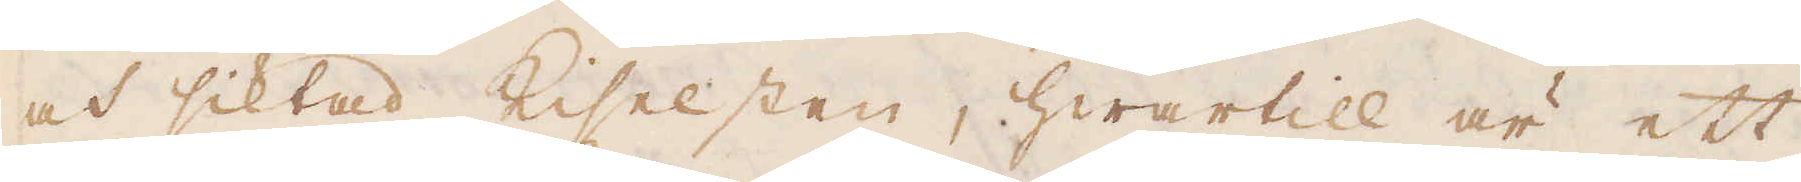och siktad Kiselsten, hwartill är ett
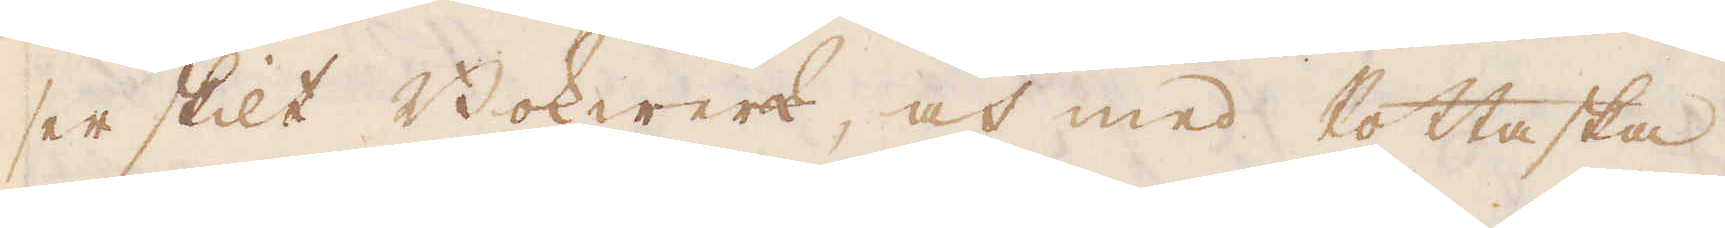serskilt Bokwerk, och med Pottaska
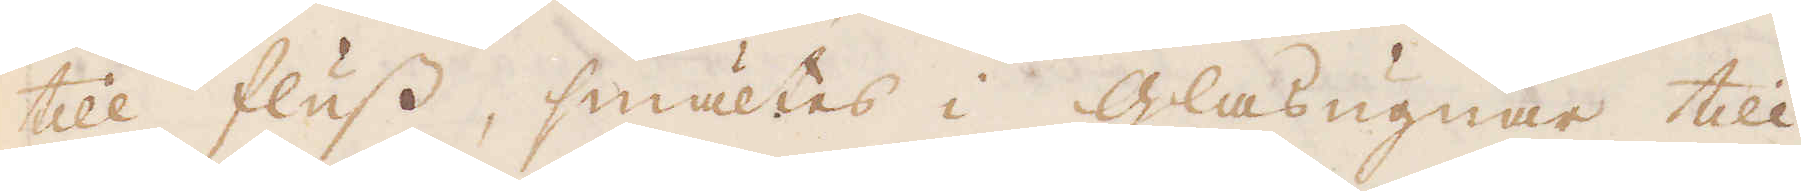till fluss, smältes i glasugnar till
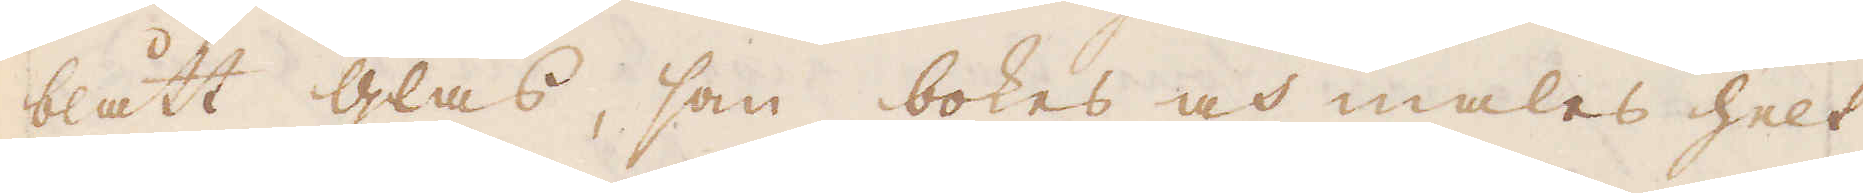blått glas, som bokes och males helt
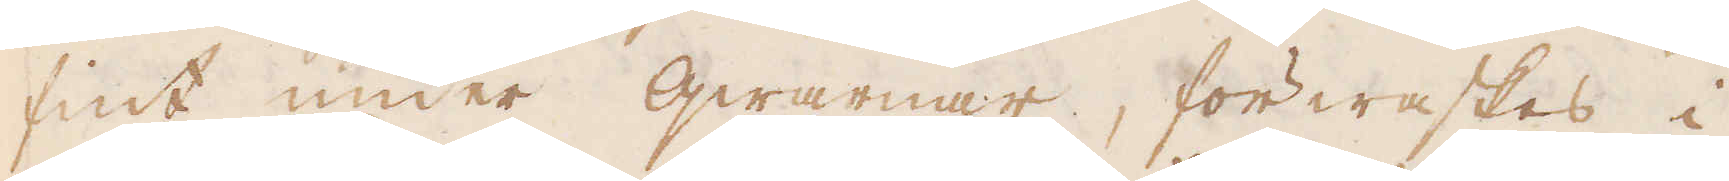fint under qwarnar, förwaskas i
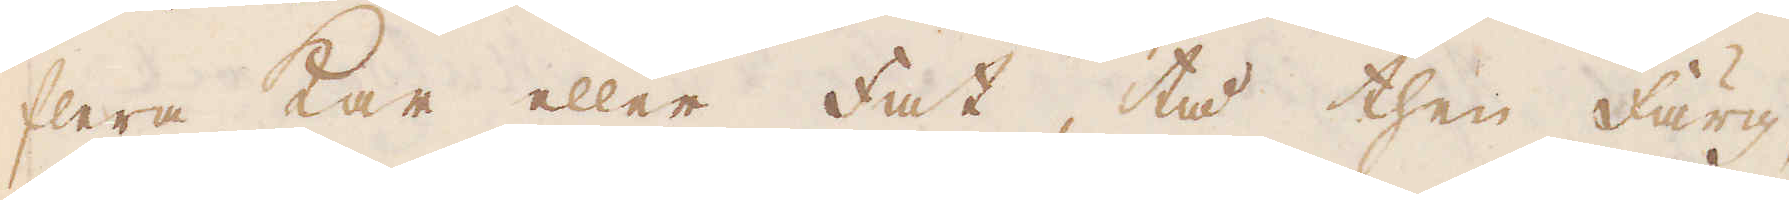flera kar eller fat, tå then färg,
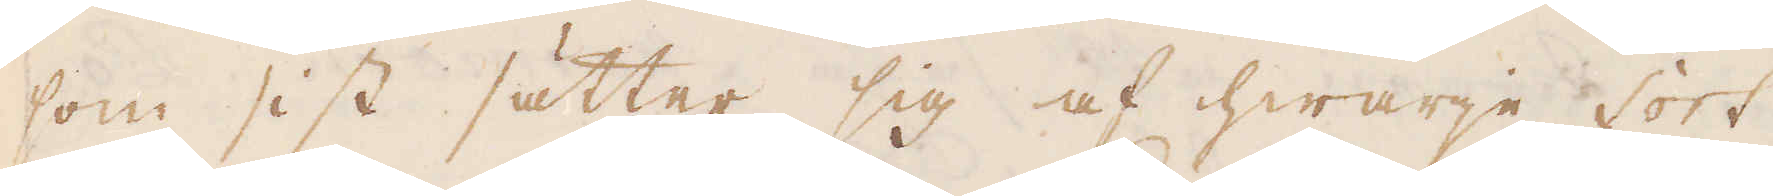som sist sätter sig af hwarje sort
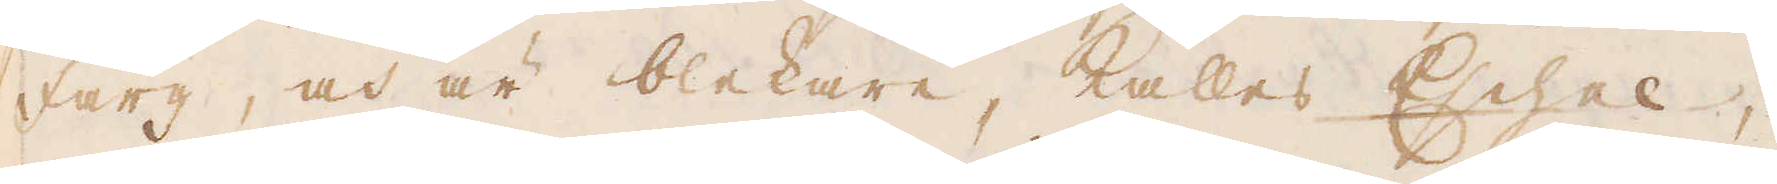färg, och är blekare, kallas Echel,
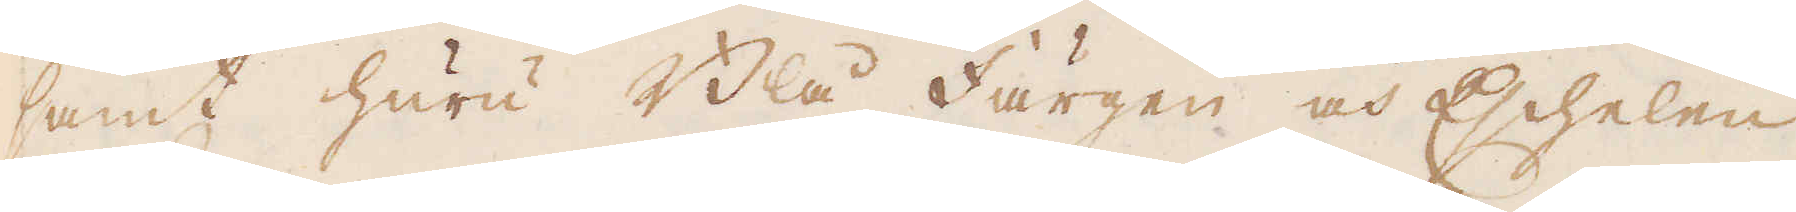samt huru Blå färgen och Eschelen
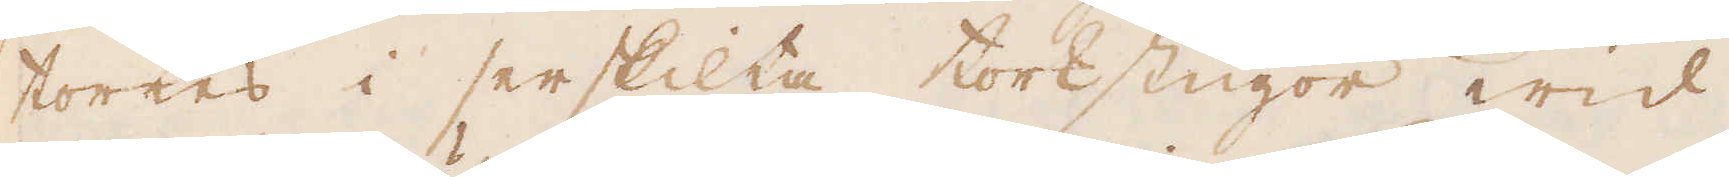torkes i serskilta torkstugor wid
